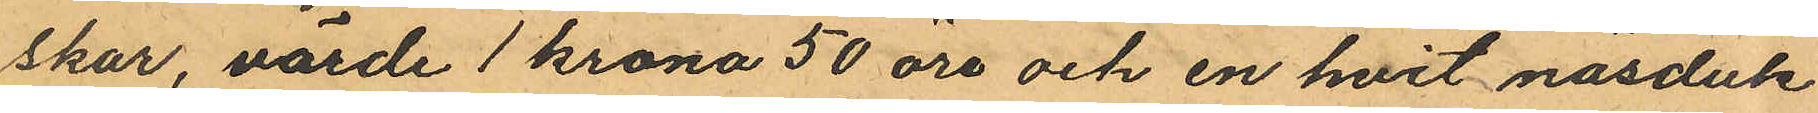skar, värde 1 krona 50 öre och en hvit näsduk
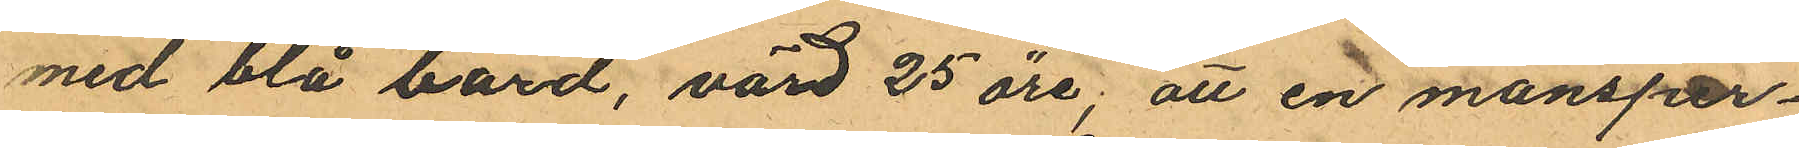med blå bård, värd 25 öre; att en mansper¬
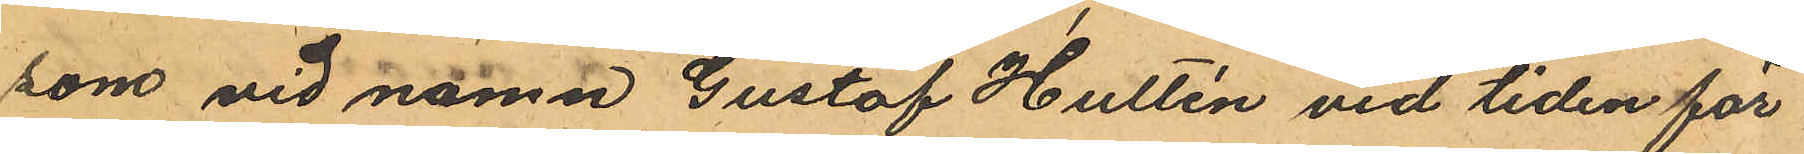son vid namn Gustaf Hultén vid tiden för
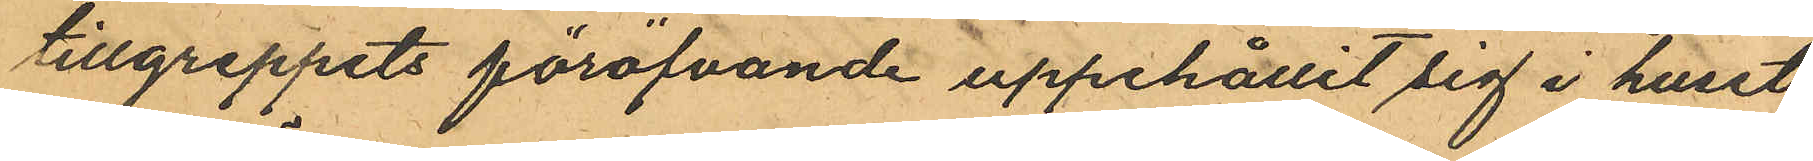tillgreppets föröfvande uppehållit sig i huset
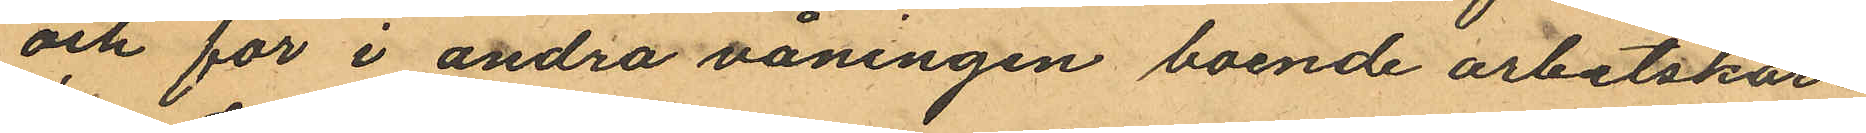och för i andra våningen boende arbetskar¬
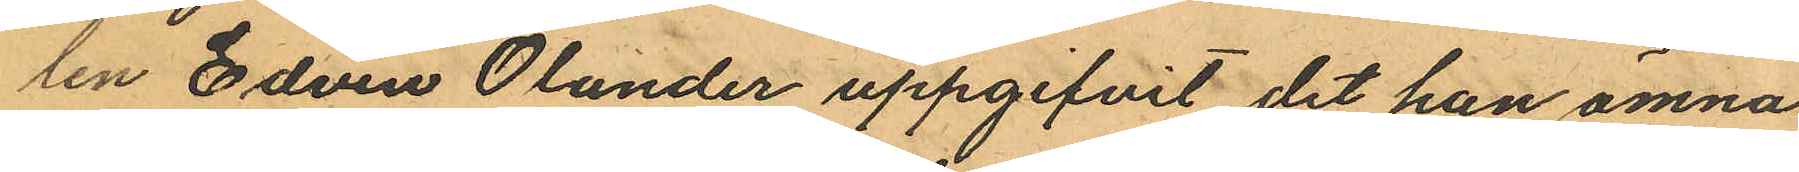len Edvin Olander uppgifvit det han ämna
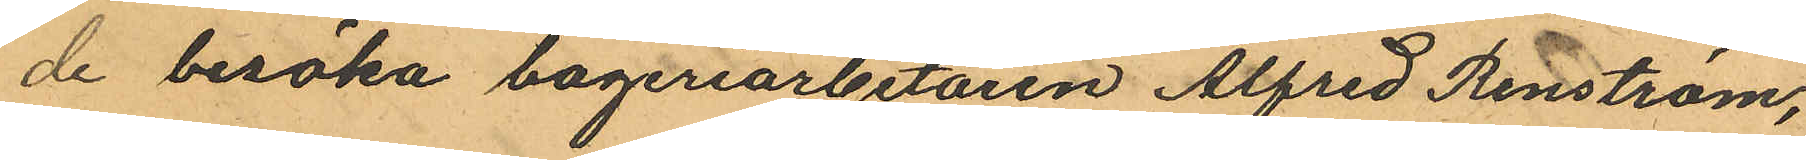de besöka bageriarbetaren Alfred Renström,
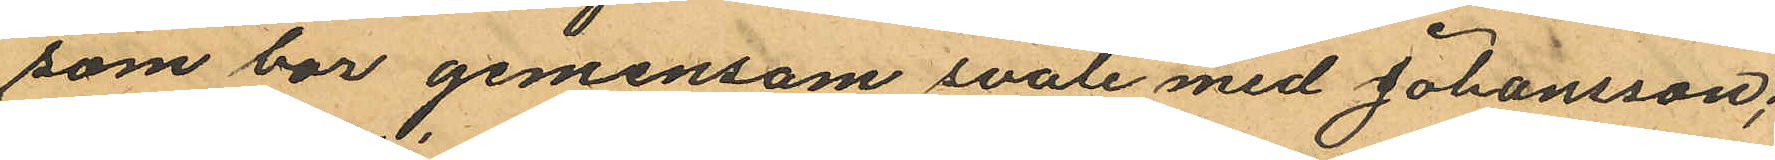som bor gemensam svale med Johansson;
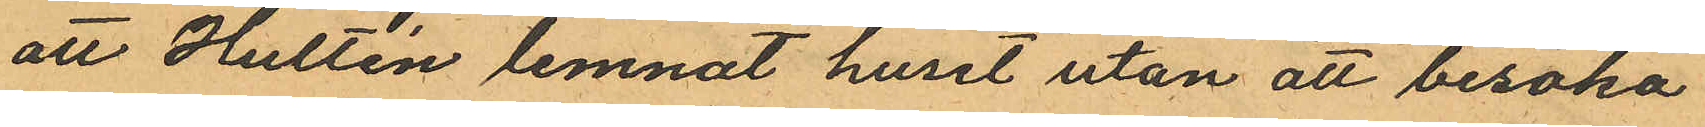att Hultén lemnat huset utan att besöka
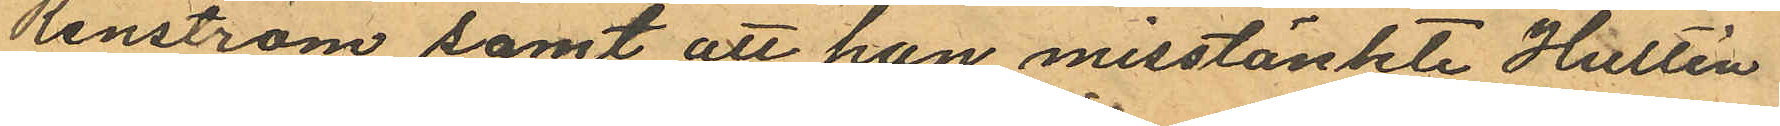Renström samt att han misstänkte Hultén
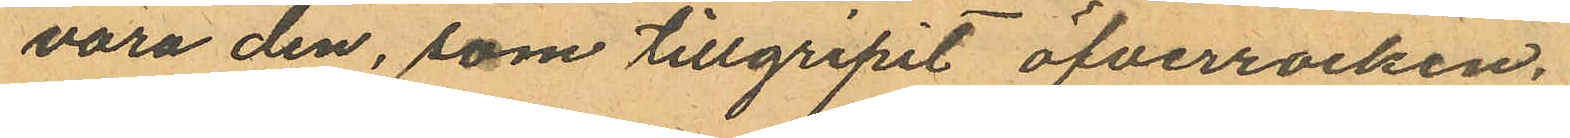vara den, som tillgripit öfverrocken.
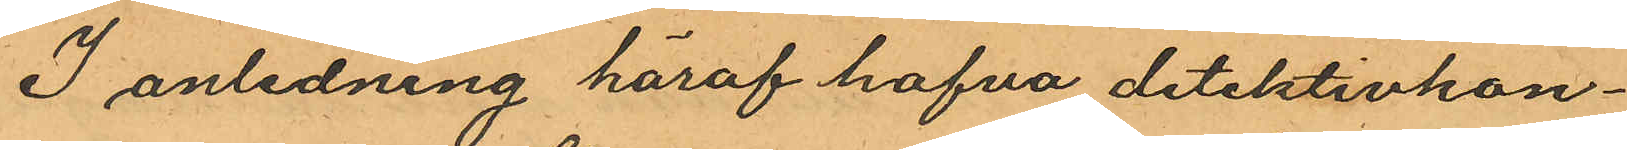I anledning häraf hafva detektivkon¬
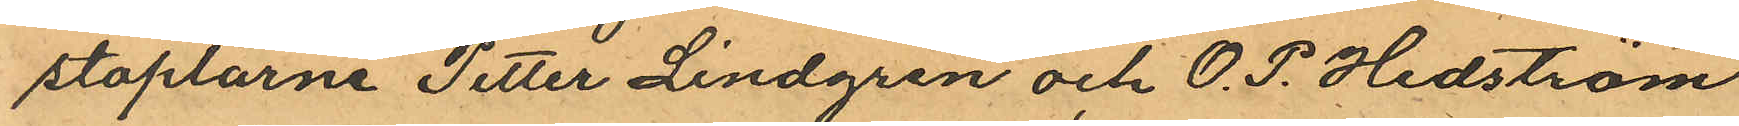staplarne Petter Lindgren och O. P. Hedström
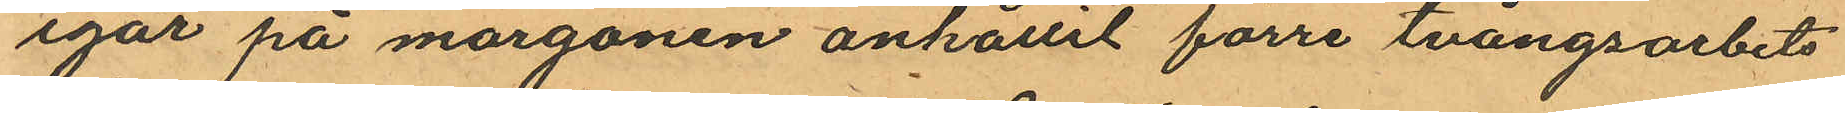igår på morgonen anhållit förre tvångsarbets¬
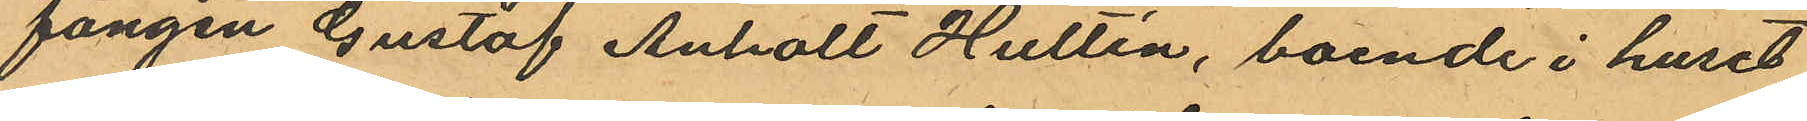fången Gustaf Anholt Hultén, boende i huset
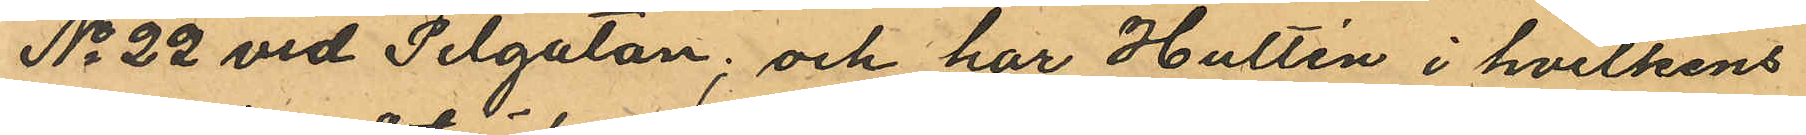No 22 vid Pilgatan; och har Hultén i hvilkens
